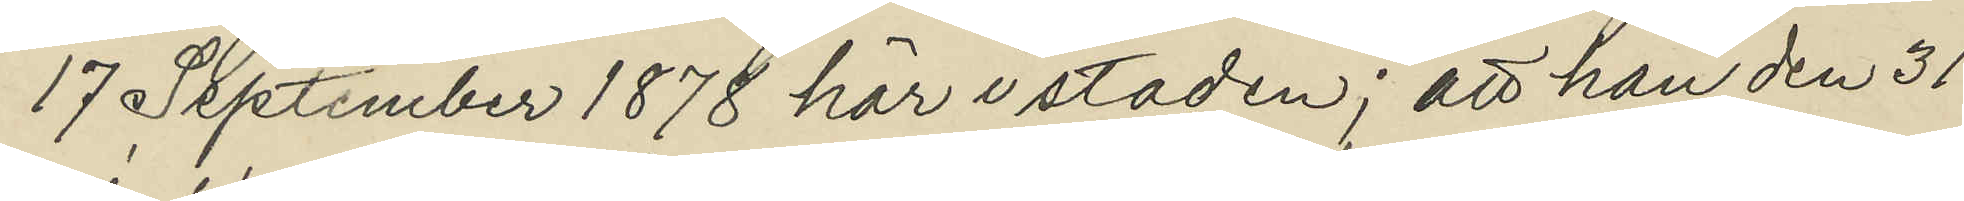17 September 1878 här i staden; att han den 31
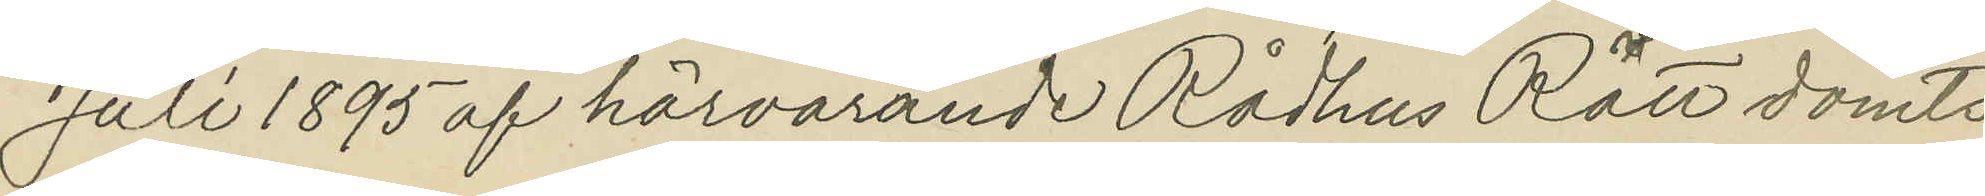Juli 1895 af härvarande Rådhus Rätt dömts
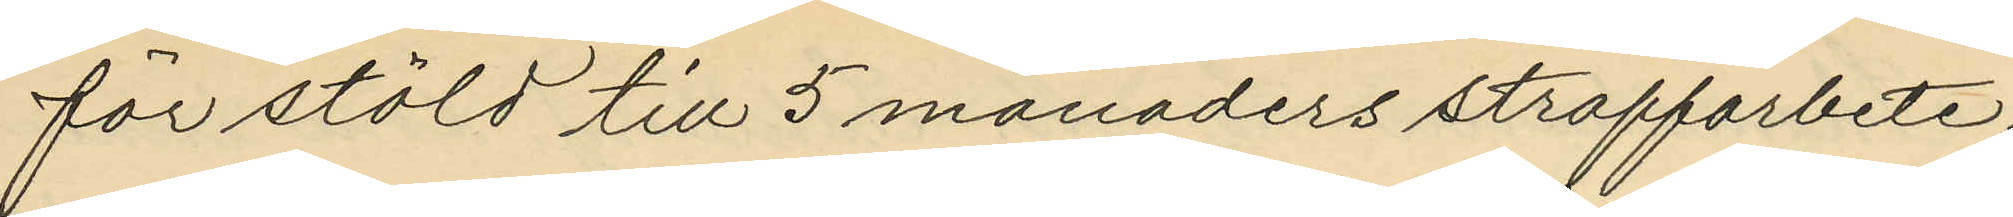för stöld till 5 månaders straffarbete;
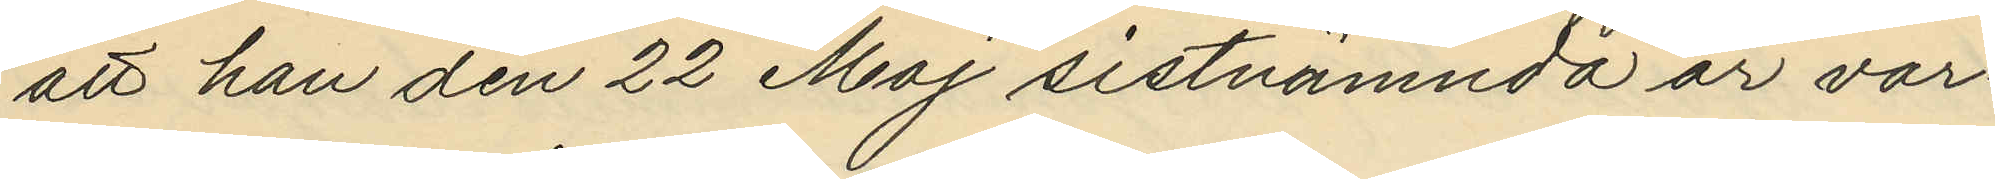att han den 22 Maj sistnämnda år var¬
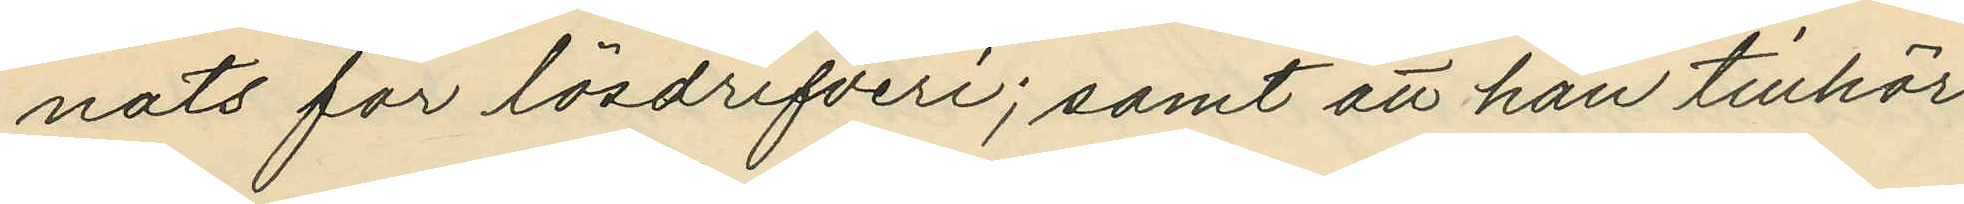nats för lösdrifveri; samt att han tillhör
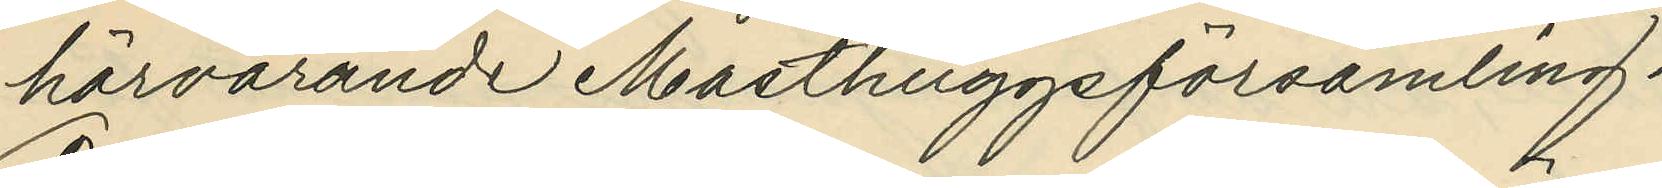härvarande Masthuggsförsamling.
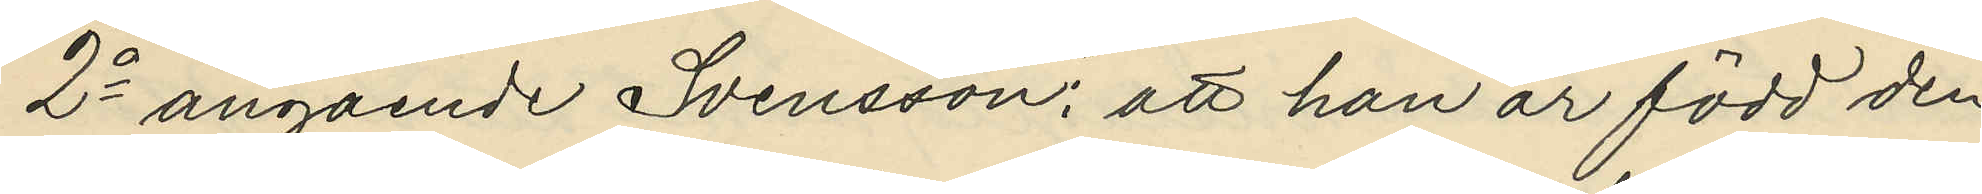2o angående Svensson: att han är född den
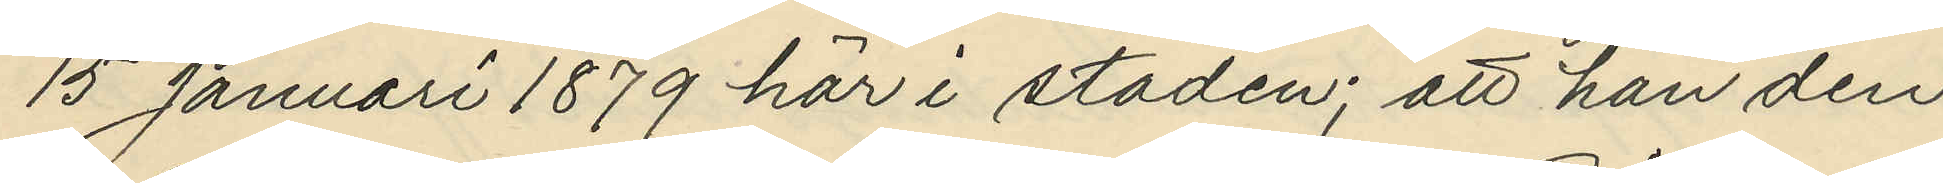15 Januari 1879 här i staden; att han den
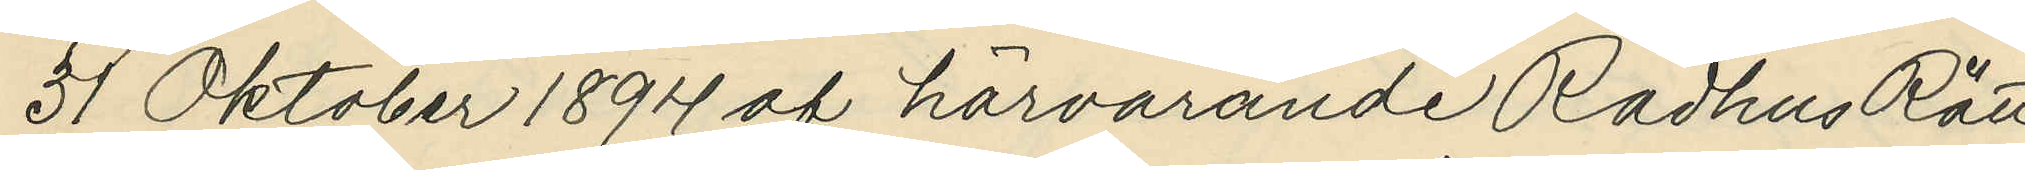31 Oktober 1894 af härvarande Rådhus Rätt
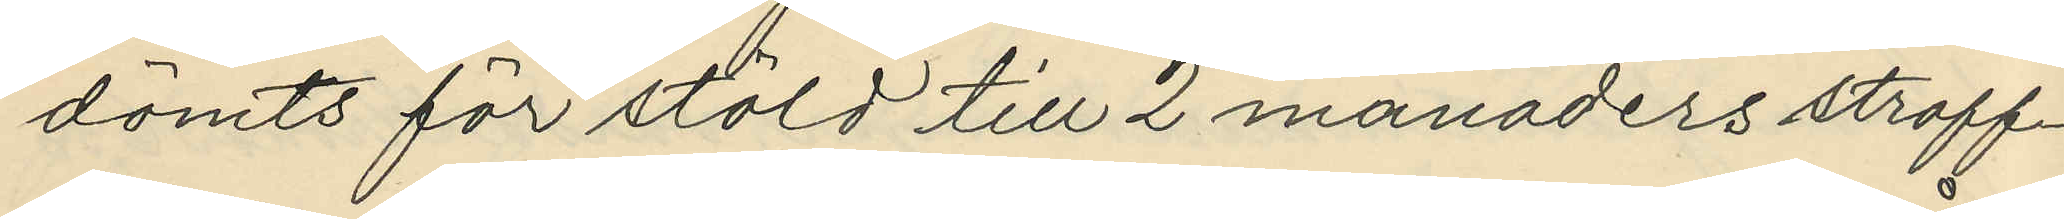dömts för stöld till 2 månaders straff¬
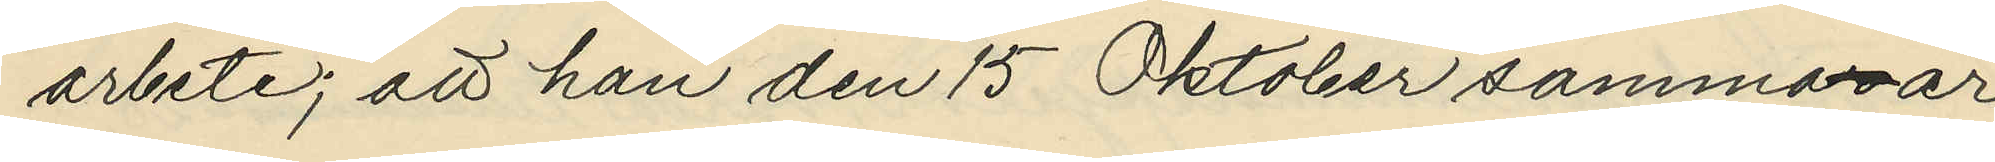arbete; att han den 15 Oktober sammar år
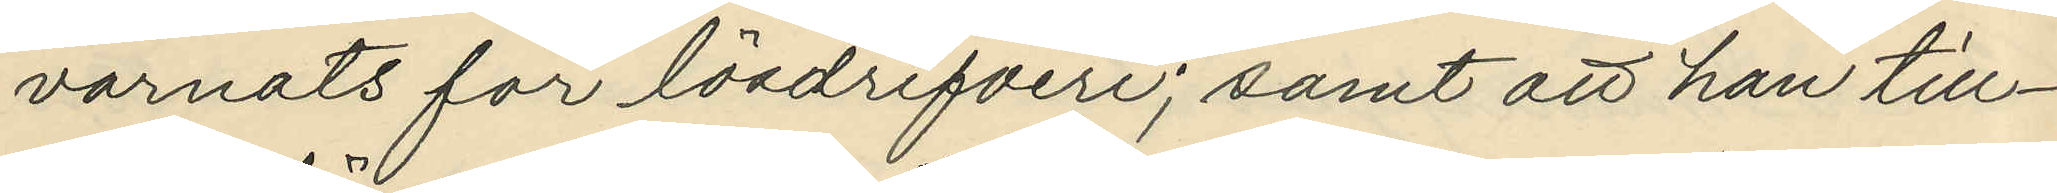varnats för lösdrifveri; samt att han till¬
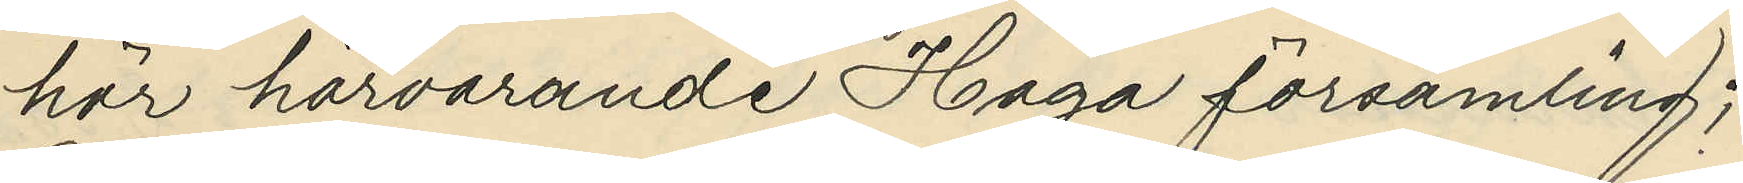hör härvarande Haga församling;
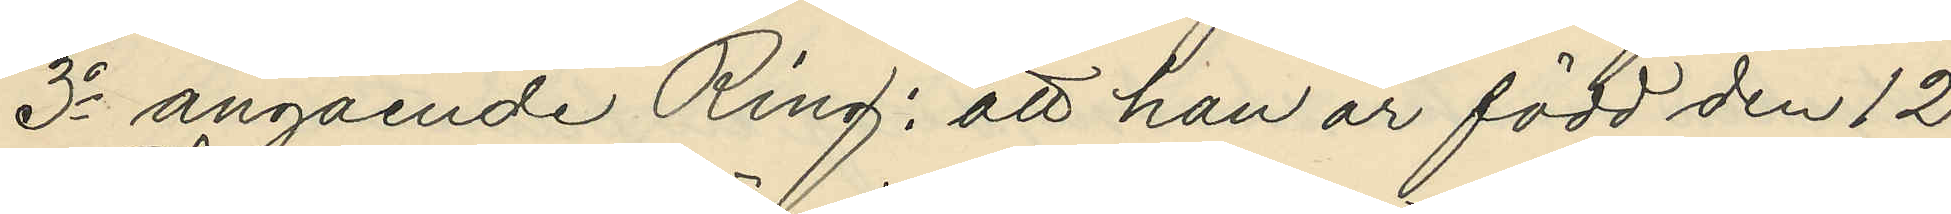3o angående Ring: att han är född den 12
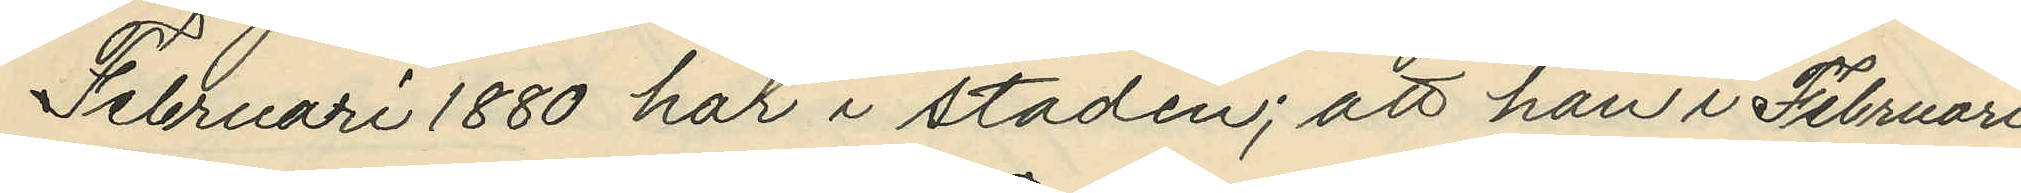Februari 1880 här i staden; att han i Februari
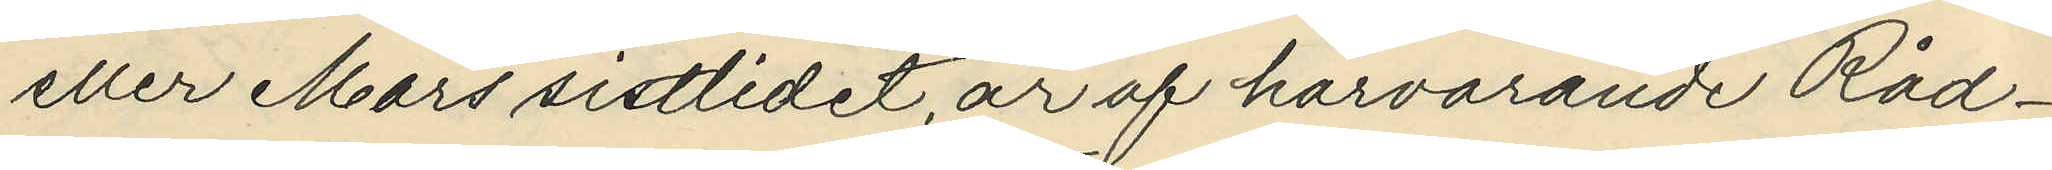eller Mars sistlidet år af härvarande Råd¬
